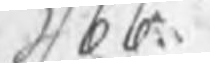386.
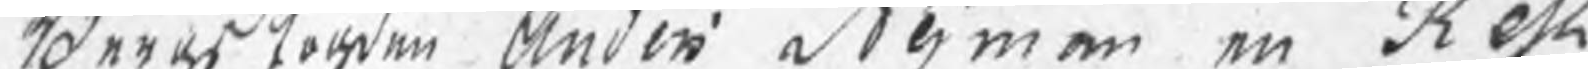Neras Toren Anden dt emen en de est¬
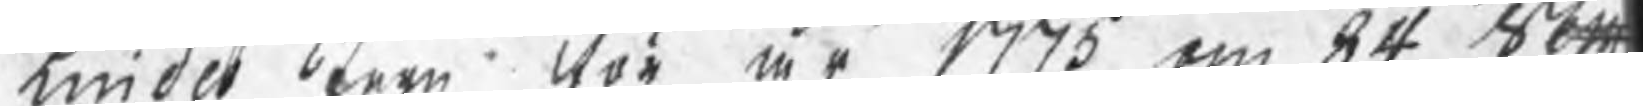aidet eom vör år 1773 om 84 Sec
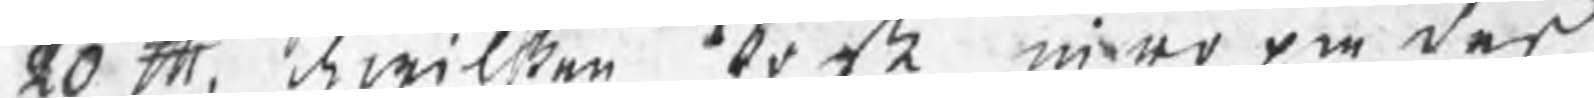20 S. awilten tobe mer om des 
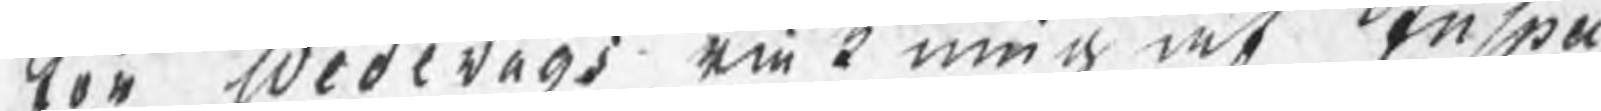lor Wedevabs om T min at nswa¬
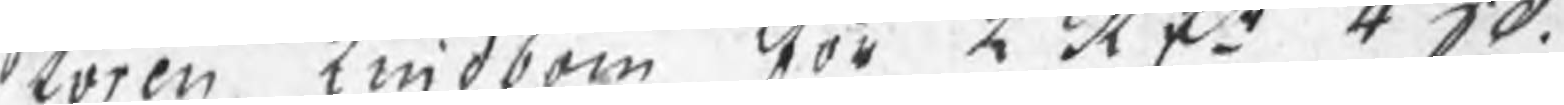roren hiiddom Röo Atr 4 40.
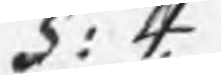d 4
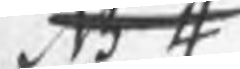gok
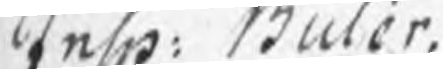Anho: Büber¬
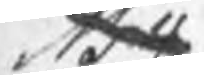Hol
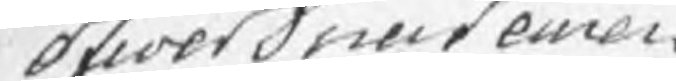Stiöetdeuckenre¬
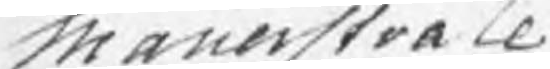Manerstoacl
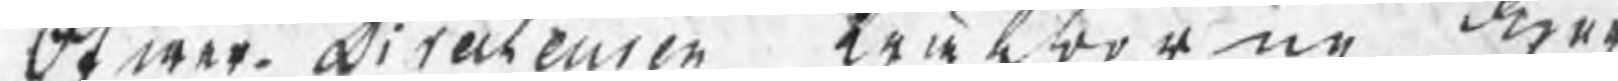dt war Diteczeuren trntortne dro¬
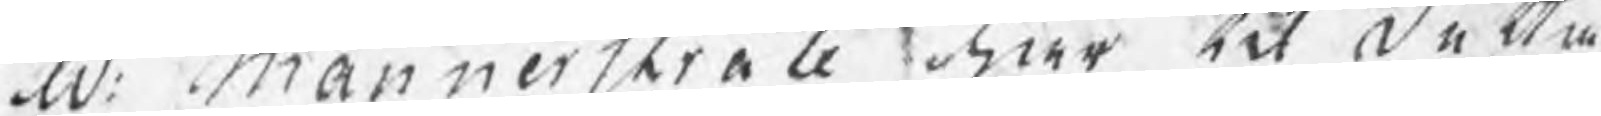ad. Mannerstrale Her ick De km 
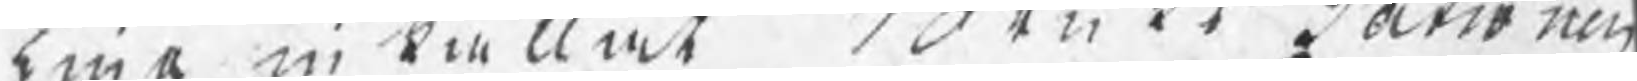lint in kiellet en 11 Datro neu 
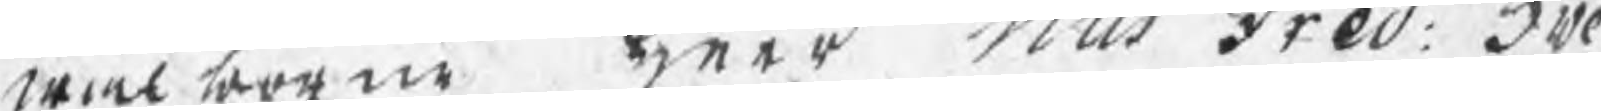wice borrne ear vlls Fre0. 306.
